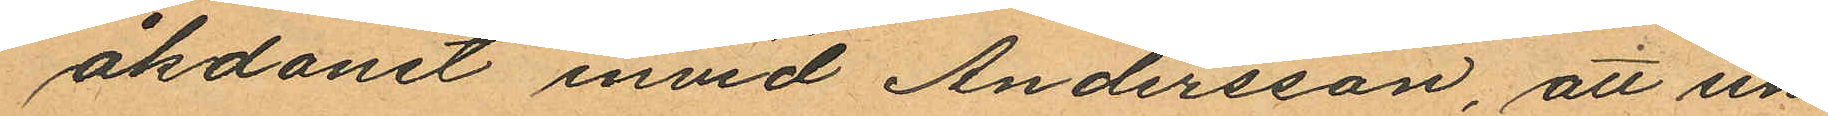åkdonet invid Andersson, att un¬
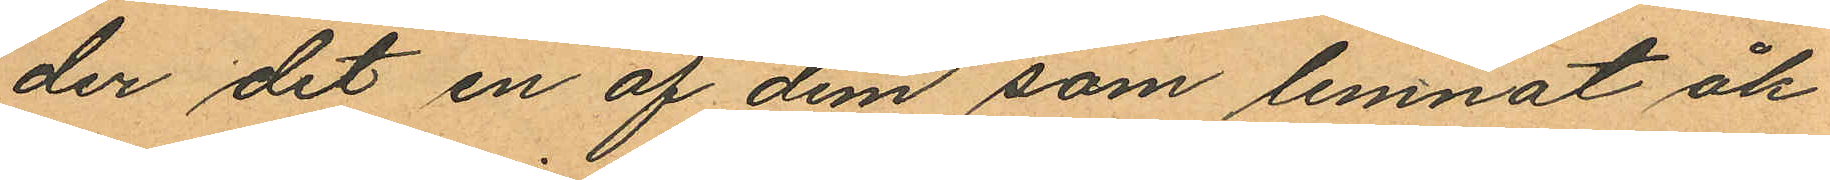der det en af dem som lemnat åk¬
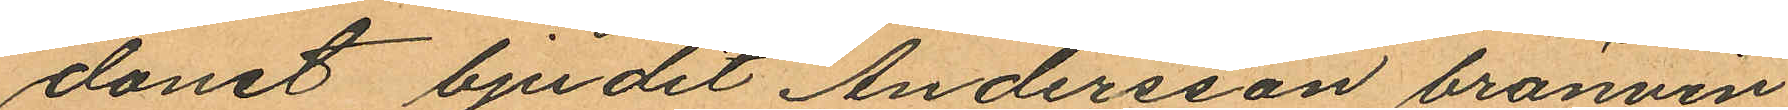donet bjudit Andersson bränvin
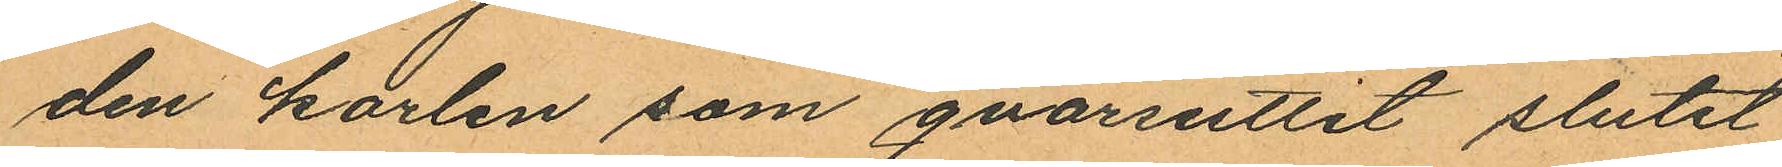den karlen som qvarsuttit slutit
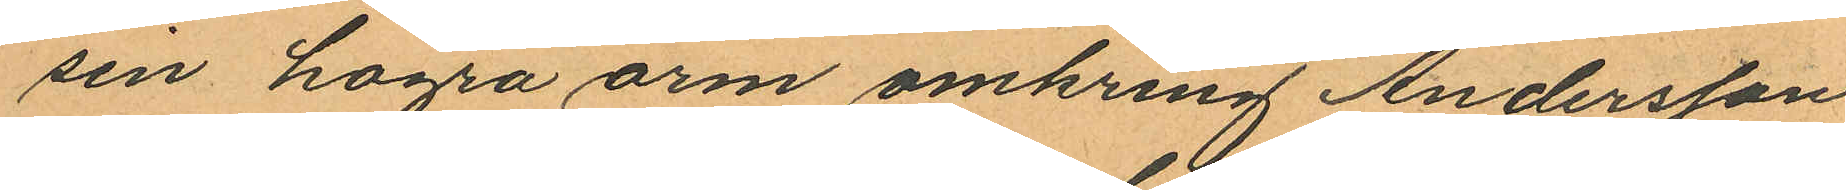sin högra orm omkring Andersson
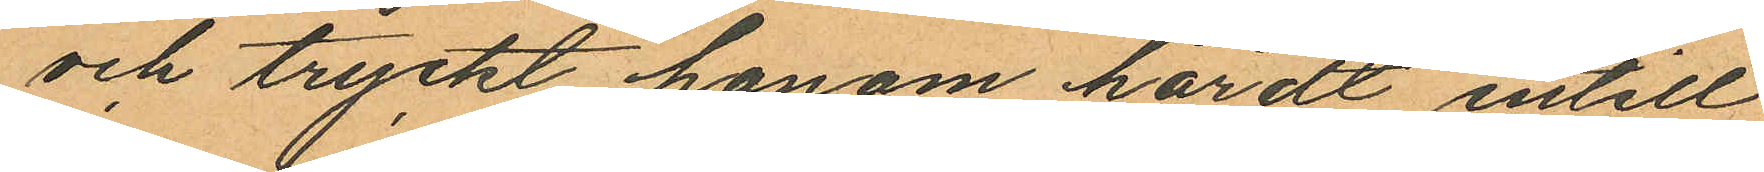och tryckt honom hårdt intill
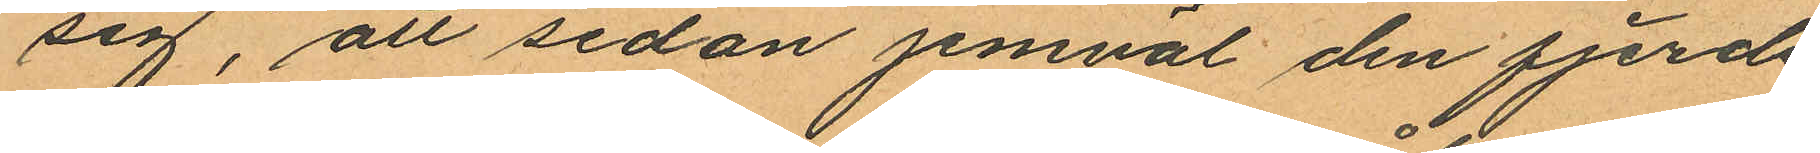sig, att sedan jemväl den fjerde
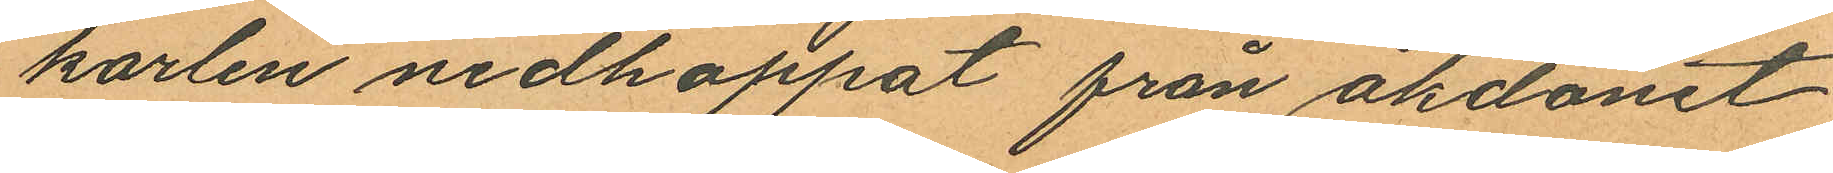karlen nedhoppat från åkdonet
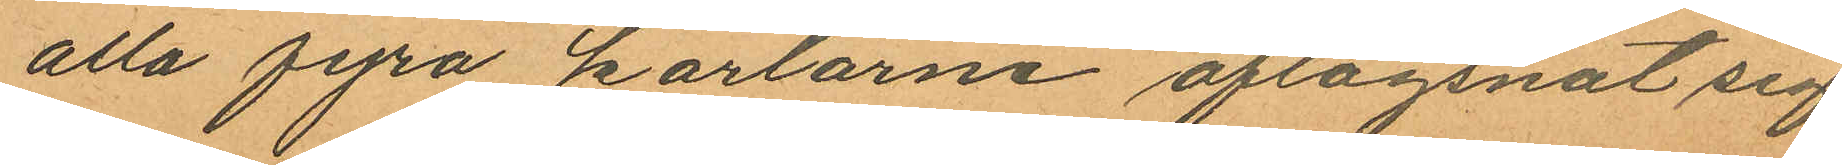alla fyra karlarne aflägsnat sig
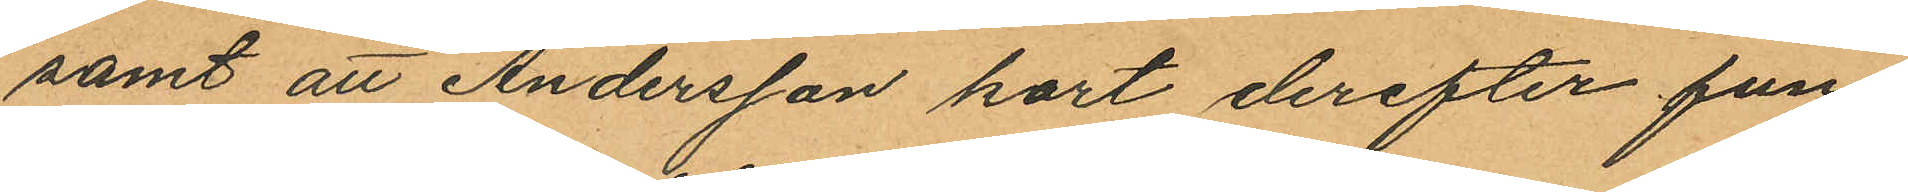samt att Andersson kort derefter fun¬
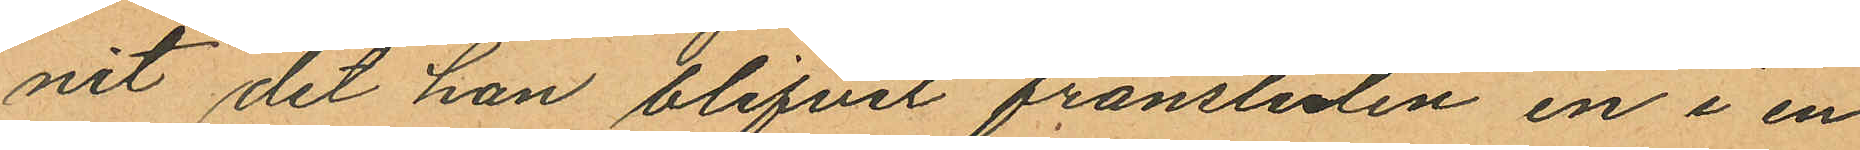nit det han blifvit frånstulen en i en
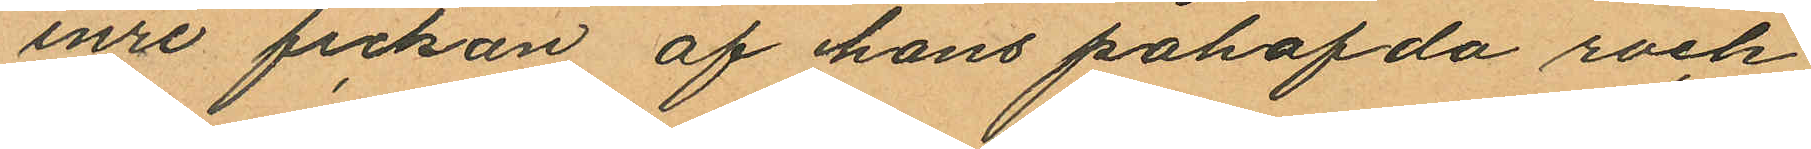inre fickan af hans påhafda rock
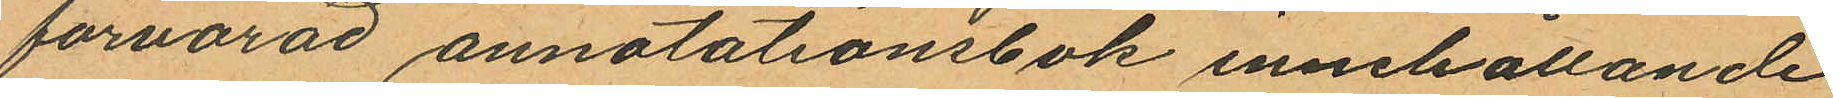förvarad annotationsbok innehållande
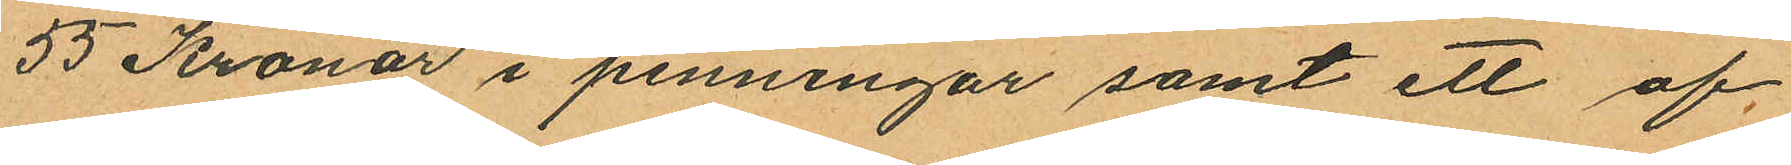55 Kronor i penningar samt ett af
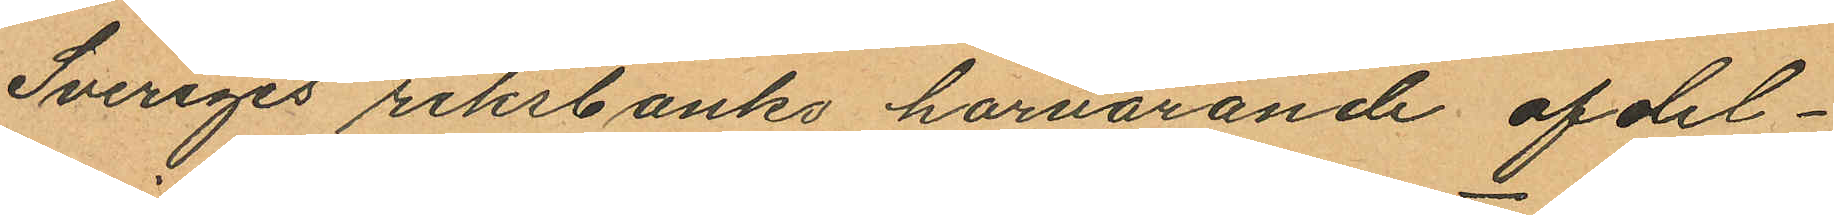Sveriges riksbanks härvarande afdel¬
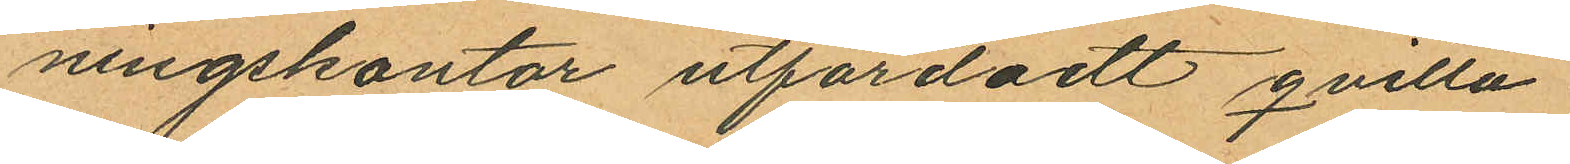ningskontor utfärdadt qvitto.
